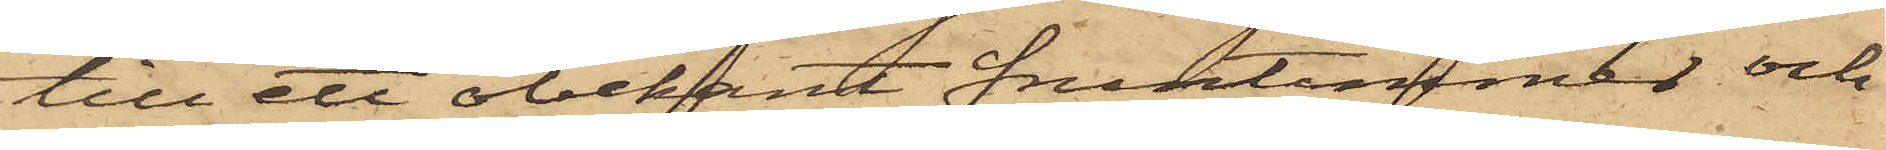till ett obekant fruntimmer och
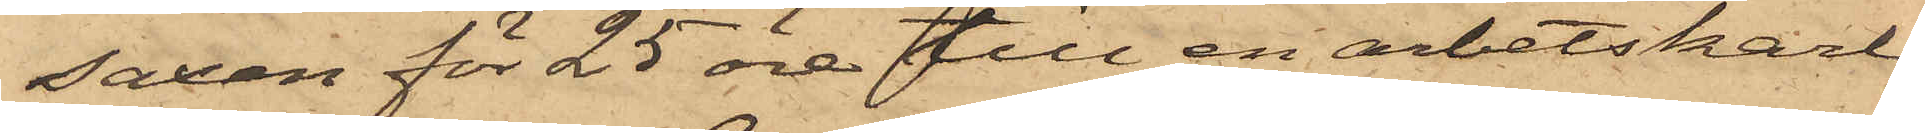saxen för 25 öre till en arbetskarl,
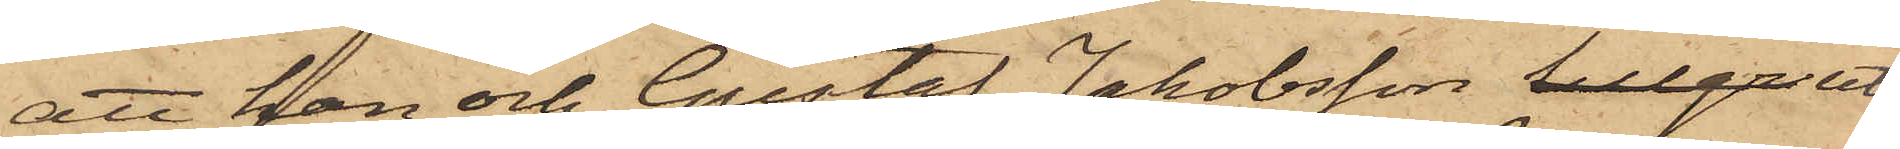att han och Gustaf Jakobsson tillgr uti
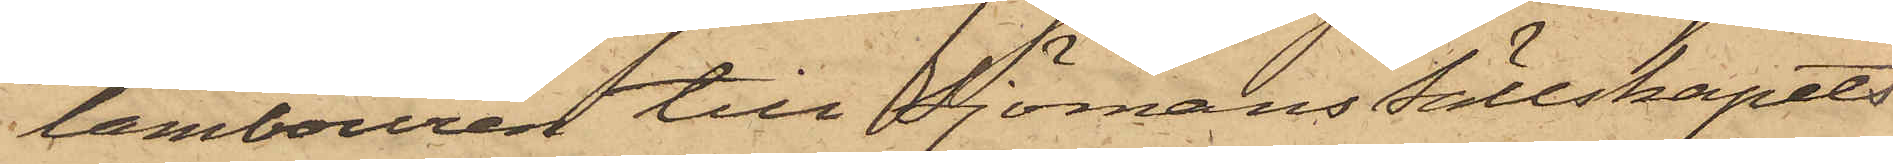tambouren till Sjömans Sällskapets
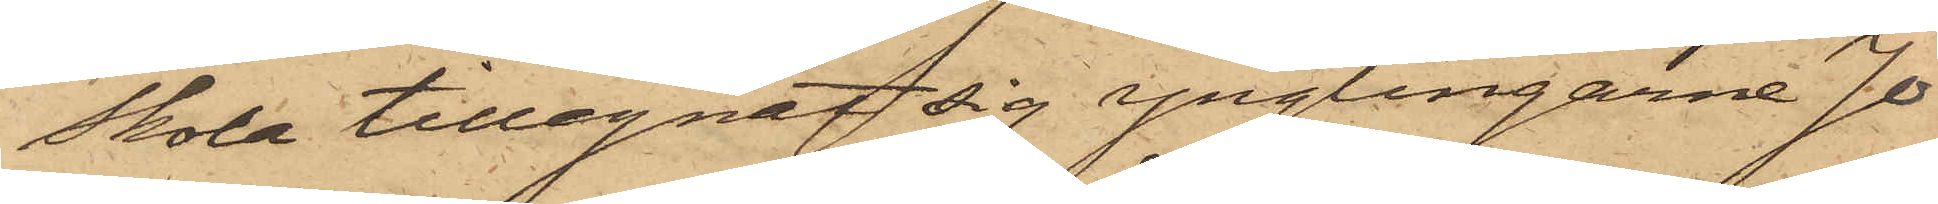Skola tillegnat sig ynglingarne Jo¬
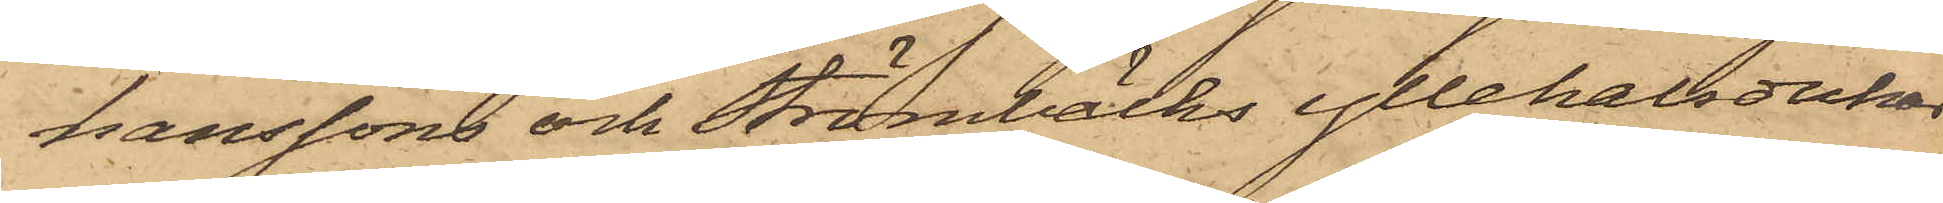hanssons och Strömbäcks yllehalsdukar,
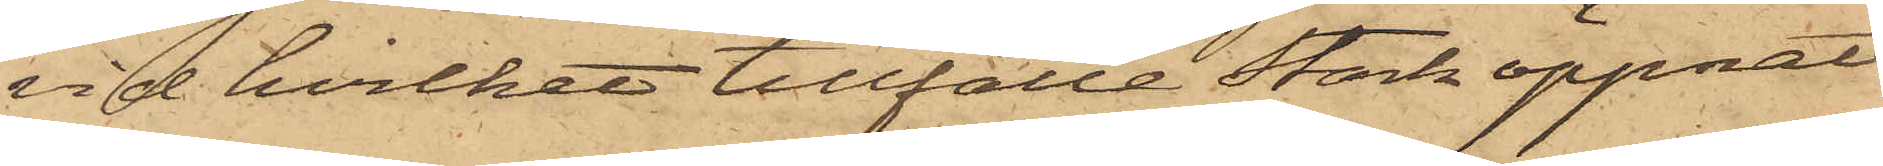vid hvilket tillfälle Stark öppnat
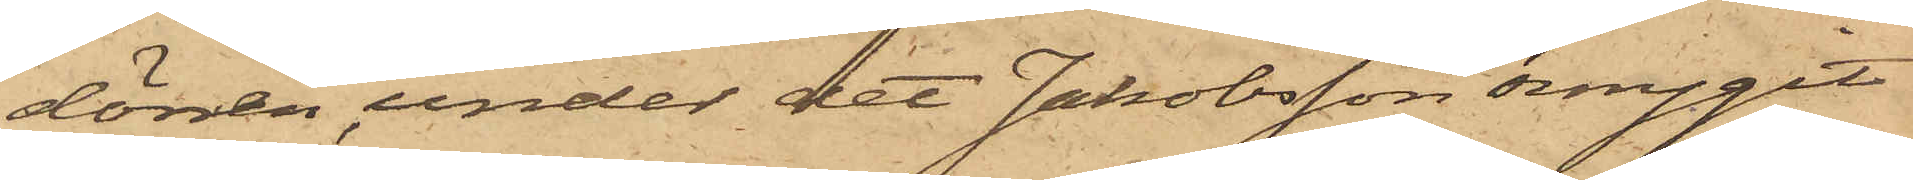dörren, under det Jakobsson smygit
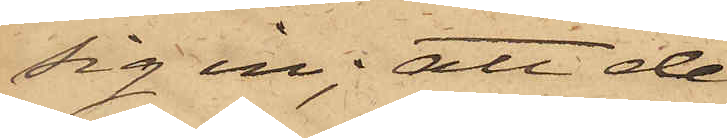sig in; att de
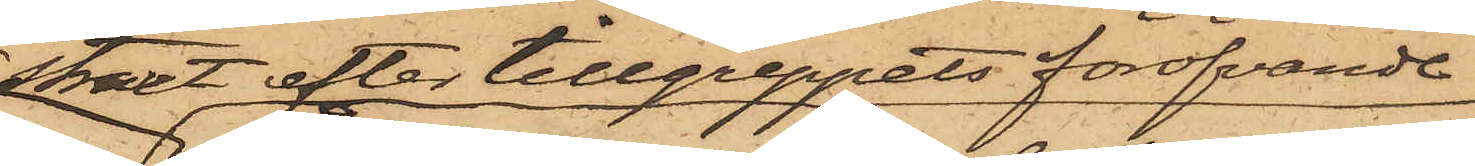straxt efter tillgreppets föröfvande
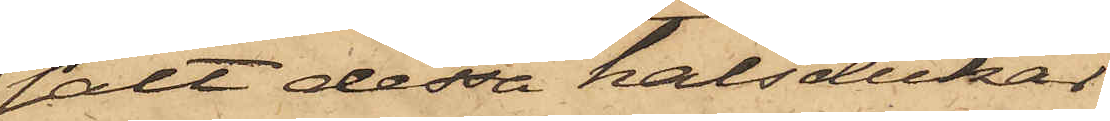sålt dessa halsdukar
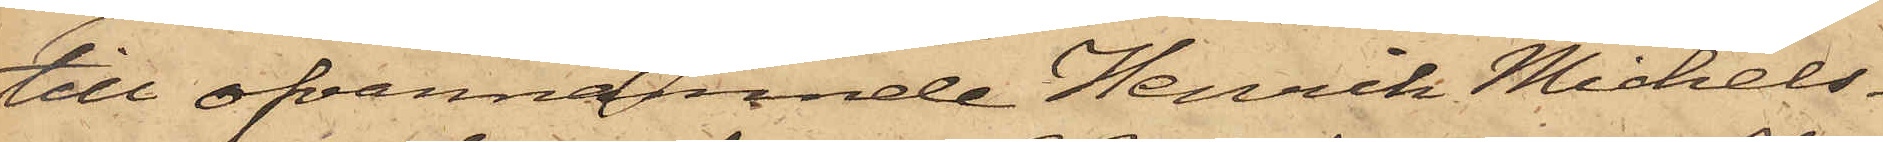till ofvannämnde Henrik Michels¬
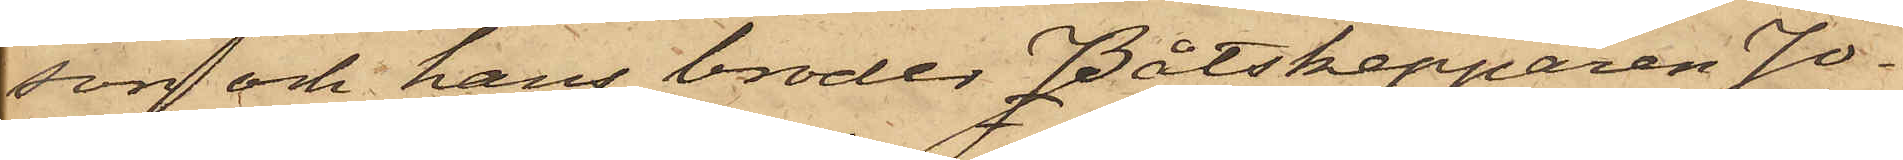son och hans broder Båtskepparen Jo¬
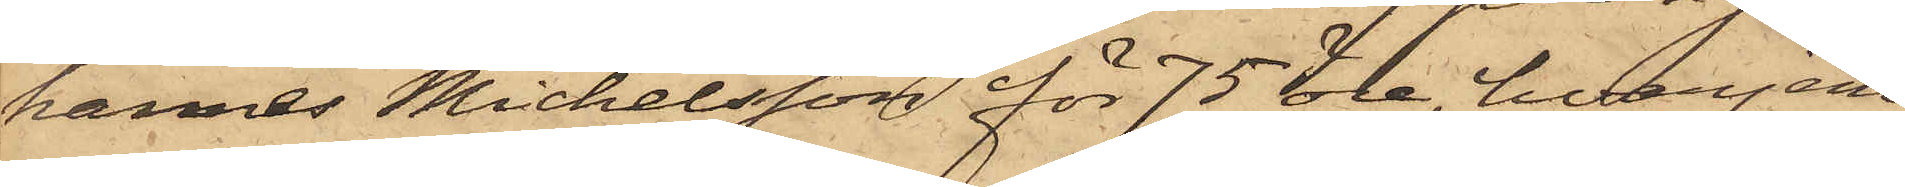hannes Michelsson för 75 öre, hvarjem¬
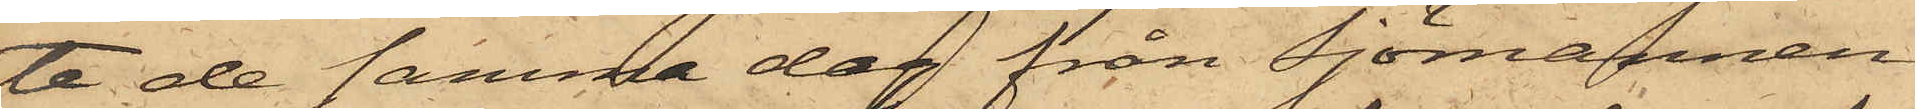te de samma dag från Sjömannen
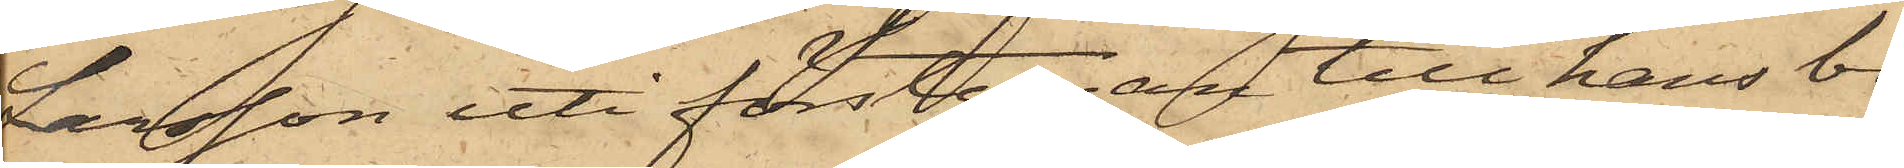Larsson uti förstugan till hans bo¬
